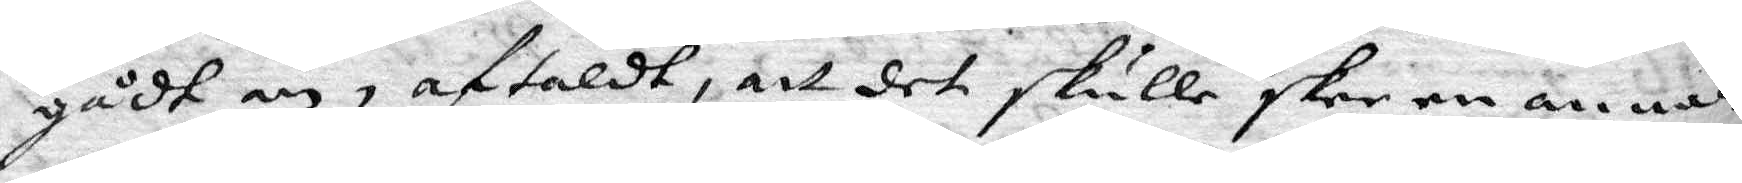gådt an, aftaldt, att det skulle skee en annan
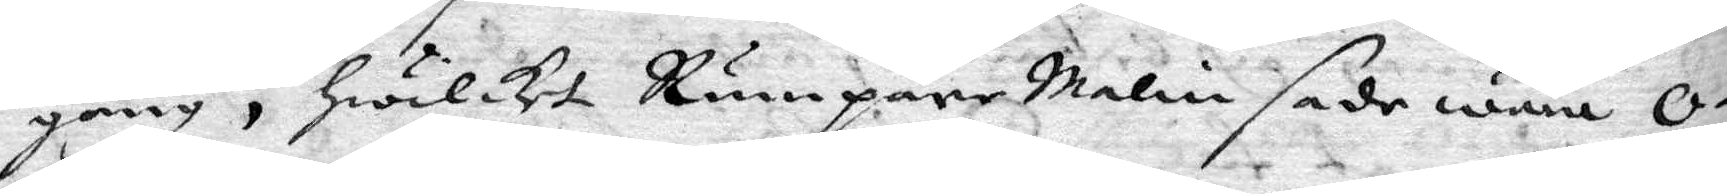gång, hwilket Rumpare malin sade wara O¬
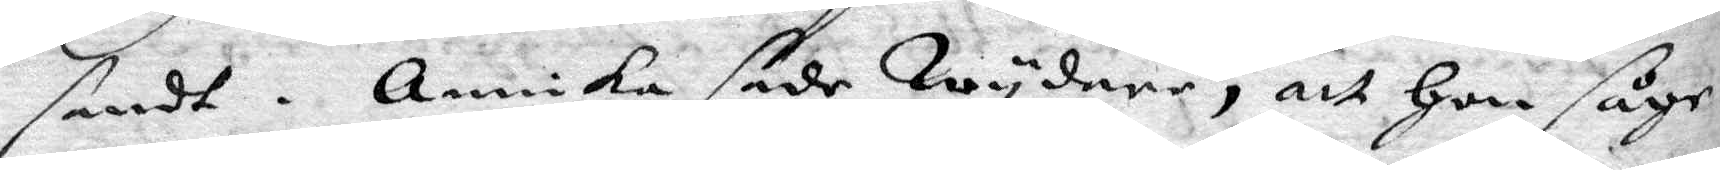sandt. Annika sade Wydare, att hon såde
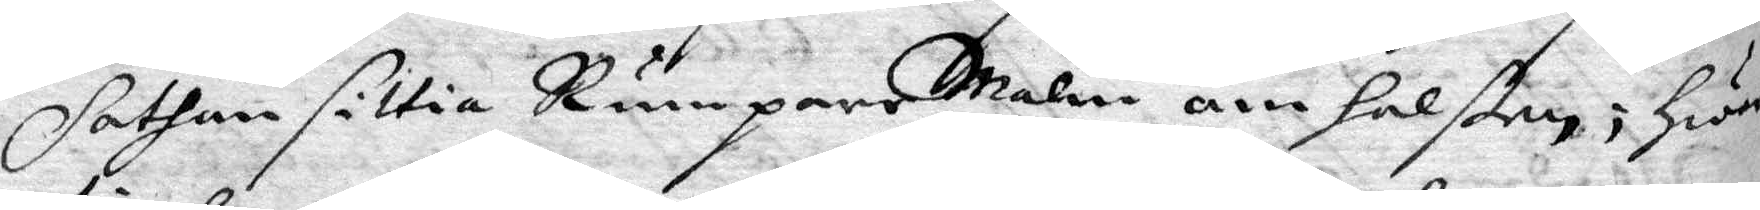Sathan sittia Rumpare Malin om halßen; hwar¬
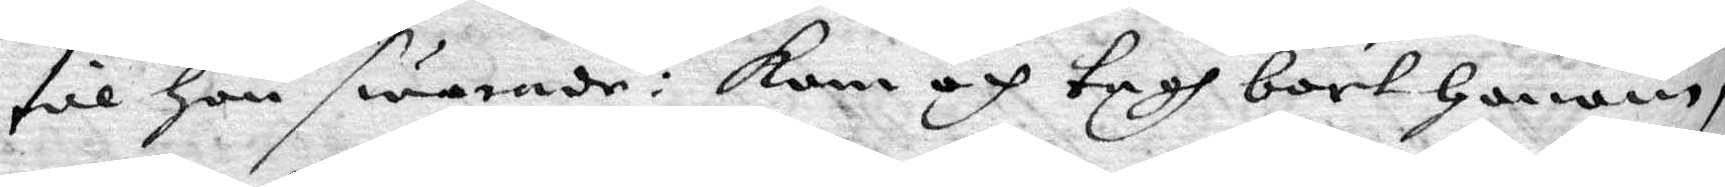till hon swarade: kom och tagh bort honom,
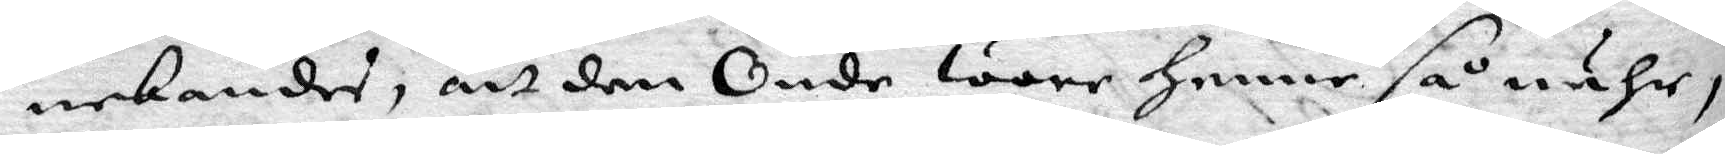nekandes, att den Onde wore henne så nähr,
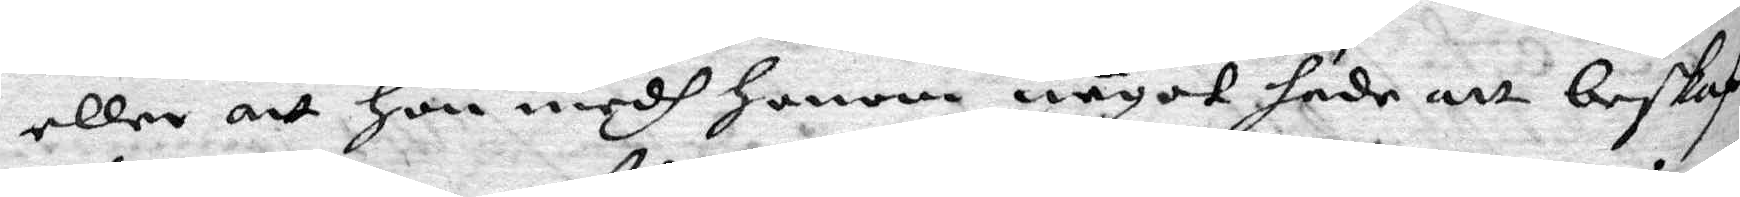eller att hon medh honom något hade att beskaf¬
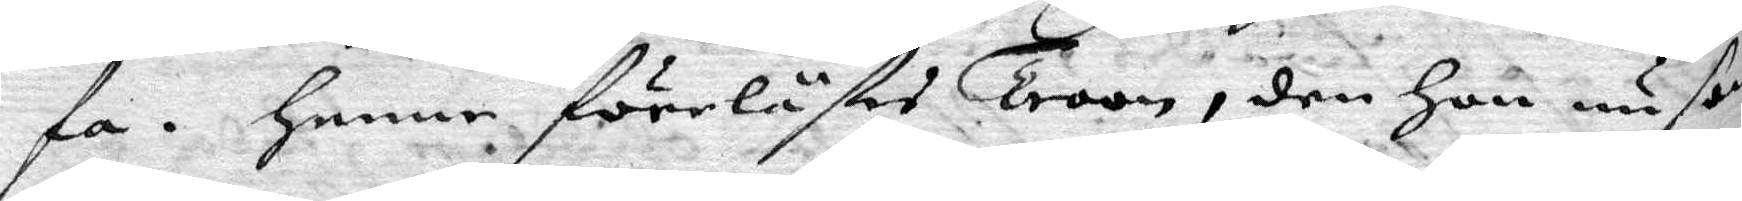fa. henne förelästes Troon, den hon nu som
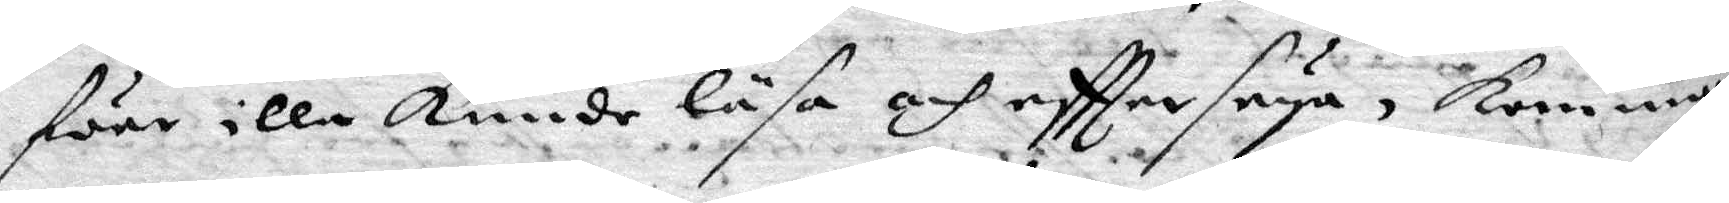före illa kunde läsa och eftter seya, komman¬
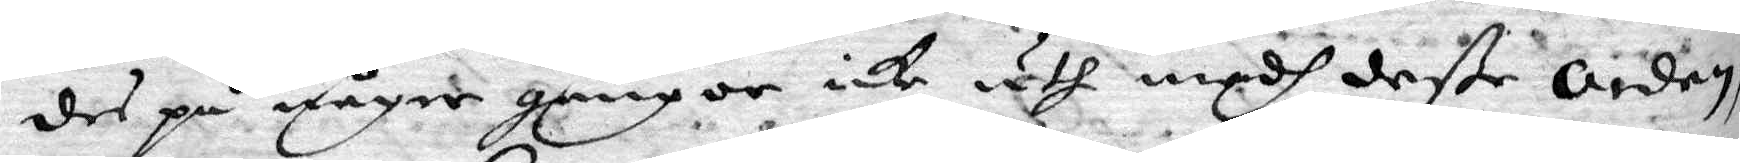des på någre gångor icke uth medh deße Orden.
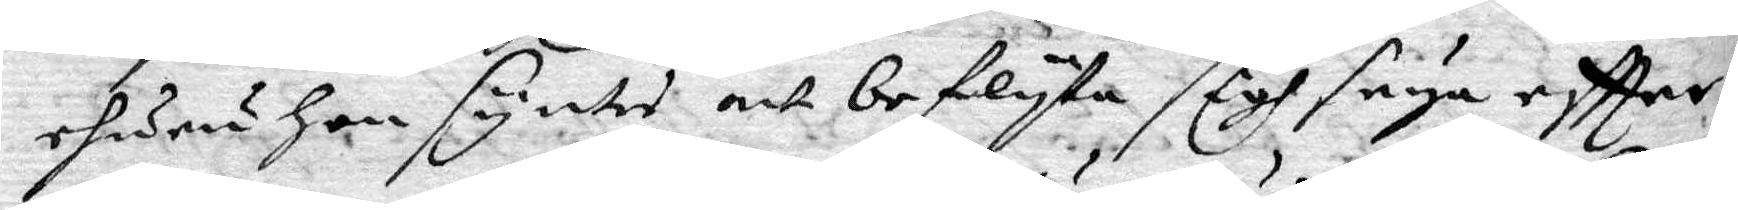ehuru hon syntes att beflyta sigh seya eftter:
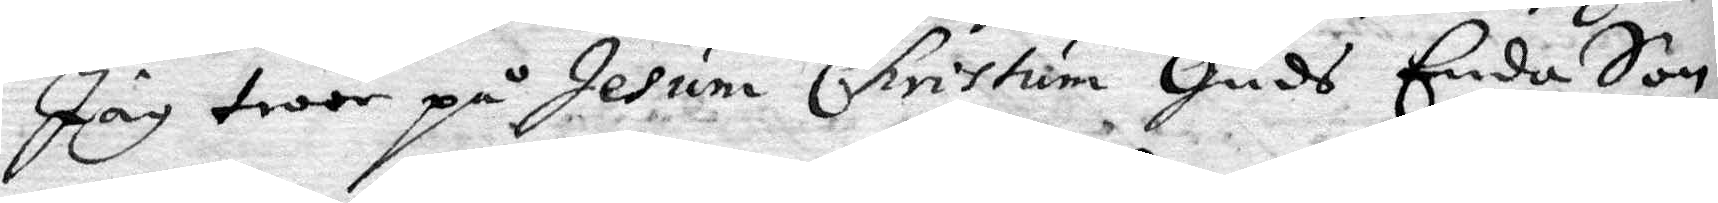Jag tror på Jesum Christum Guds Enda Son
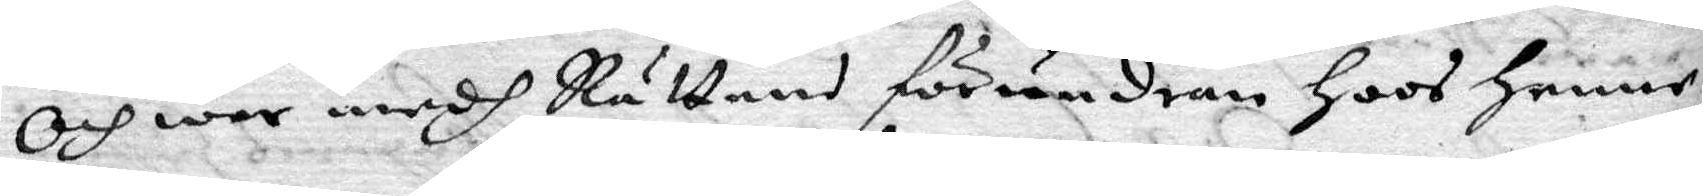Och war medh Rätten förundran hoos henne
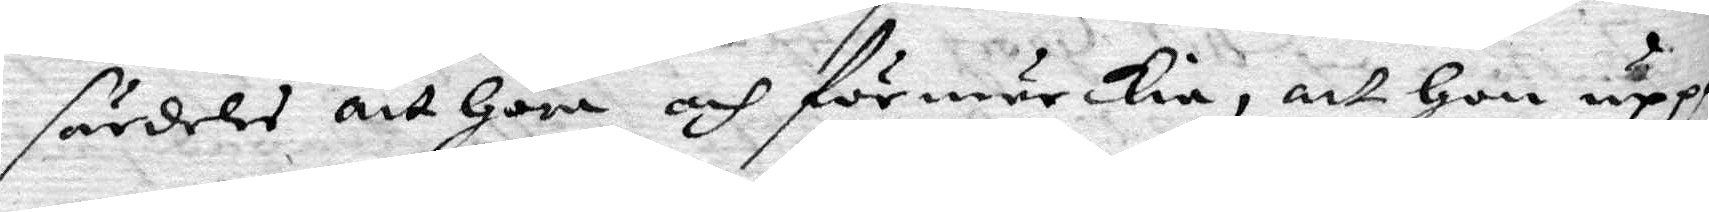särdeles att göra och förmärkia, att hon uppå
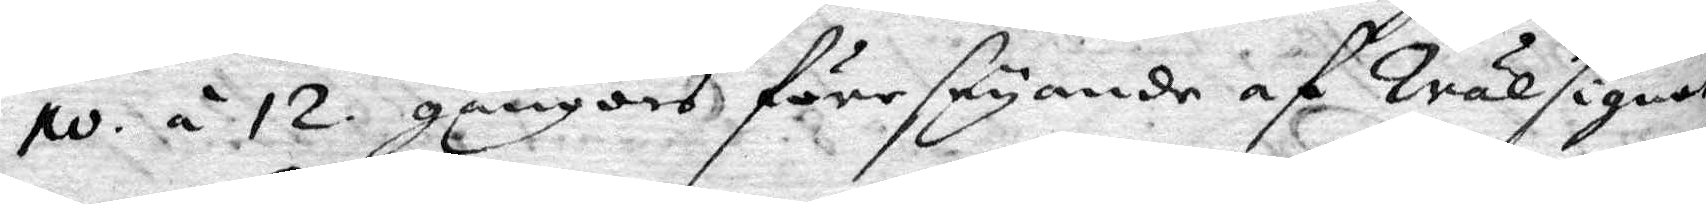10 á 12. gångers föreseyande af Wälsignet
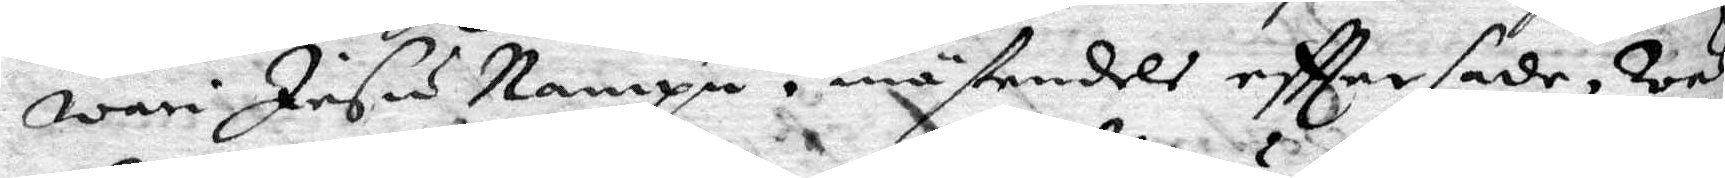wari Jesu Nampn mästendels efttersade, Wäl¬
